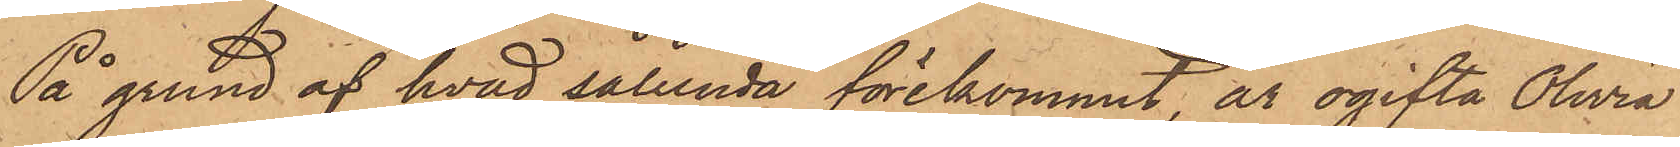På grund af hvad sålunda förekommit, är ogifta Olivia
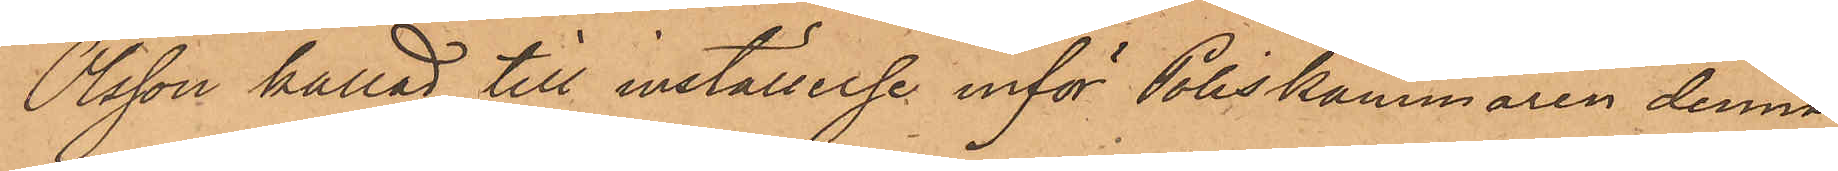Olsson kallad till inställelse inför Poliskammaren denna
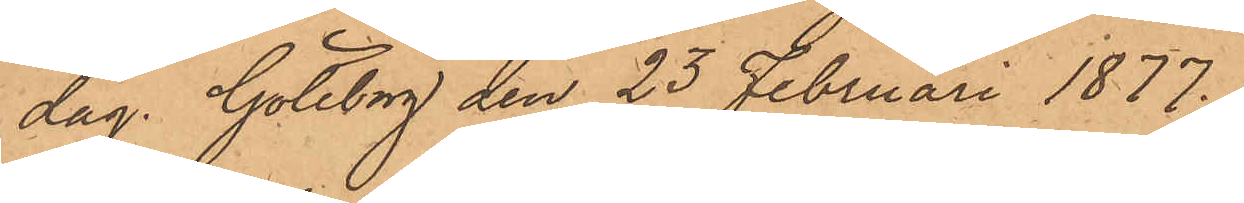dag. Göteborg den 23 Februari 1877.
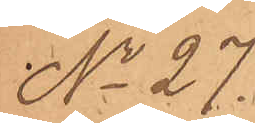No 27.
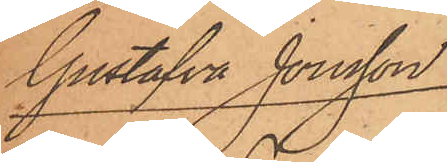Gustafva Jonsson
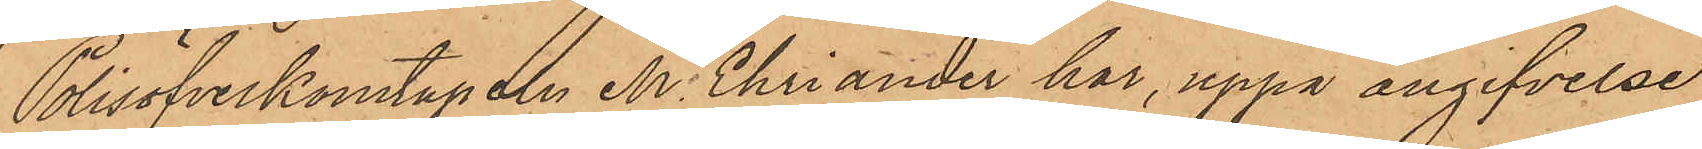Polisöfverkonstapeln M. Ehriander har, uppå angifvelse
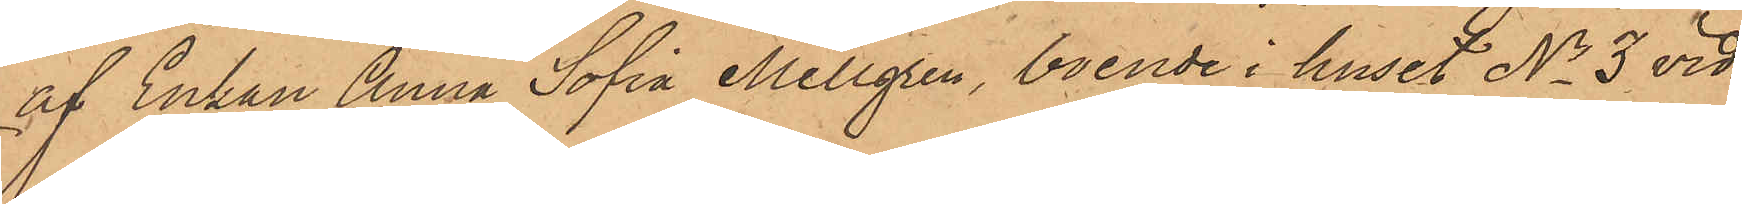af Enkan Anna Sofia Mellgren, boende i huset No 3 vid
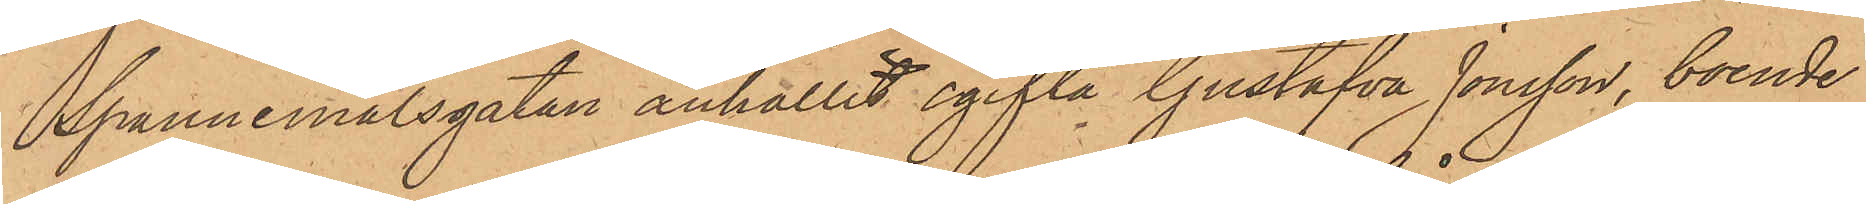Spannmålsgatan anhållit ogifta Gustafva Jonsson, boende
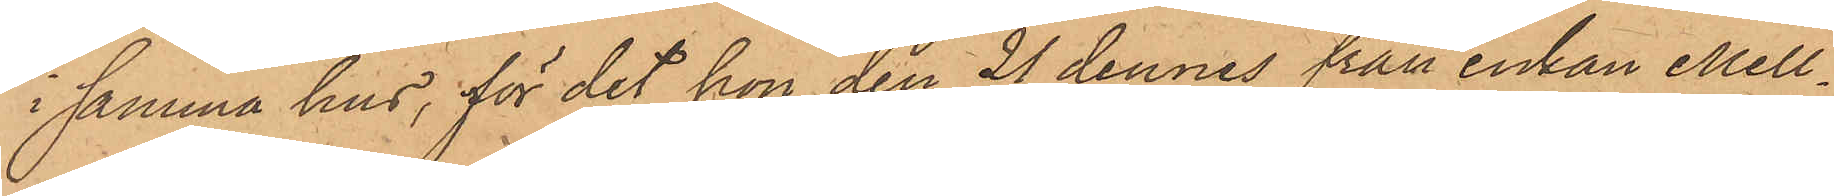i samma hus, för det hon den 21 dennes från enkan Mell¬
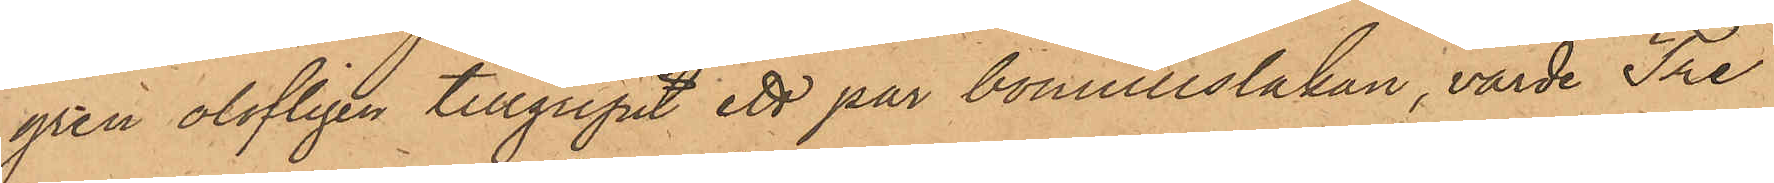gren olofligen tillgripit ett par bomullslakan, värde Tre
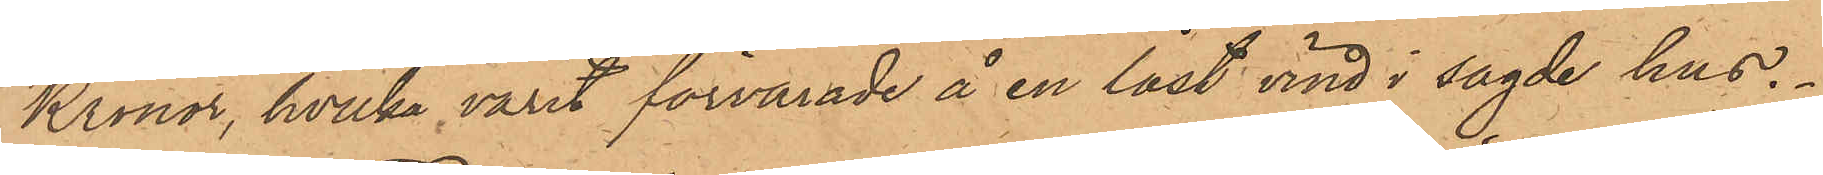Kronor, hvilka varit förvarade å en låst vind i sagde hus.
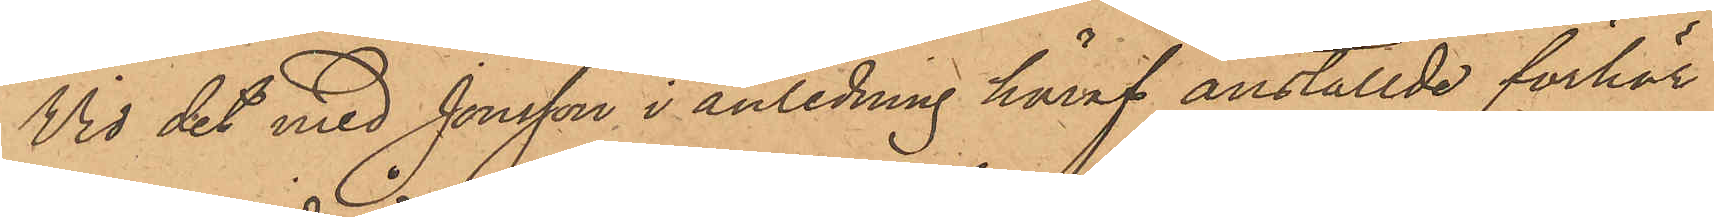Vid det med Jonsson i anledning häraf anställde förhör
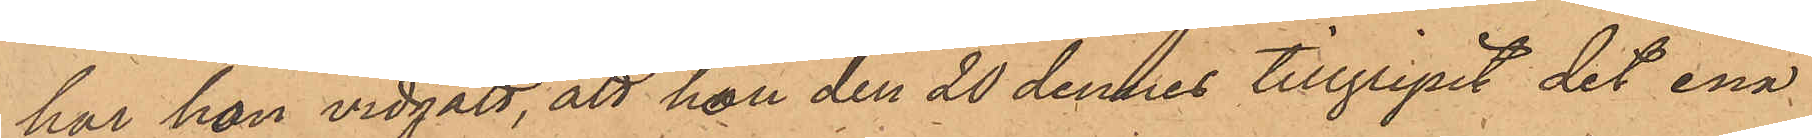har hon vidgått, att hon den 20 dennes tillgripit det ena
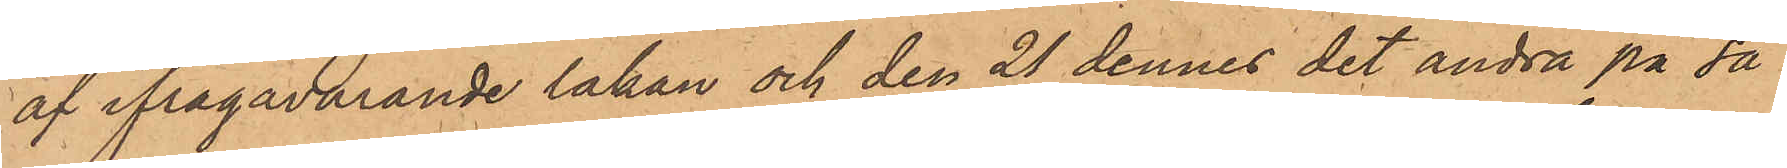af ifrågavarande lakan och den 21 dennes det andra på så
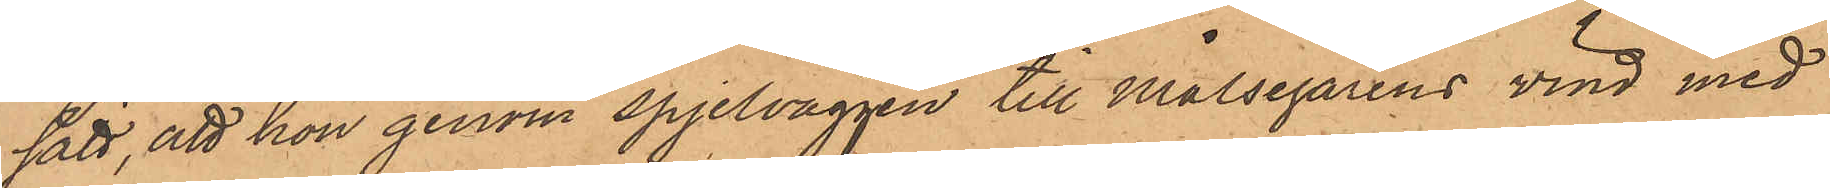sätt, att hon genom spjelväggen till Målsegarens vind med
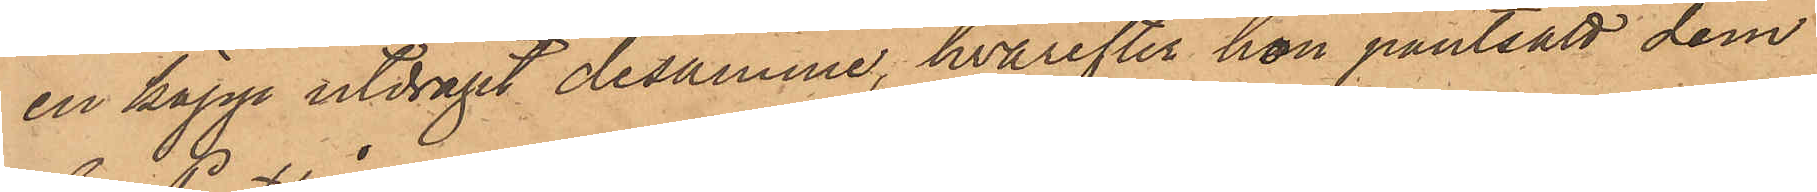en käpp utdragit desamme, hvarefter hon pantsatt dem
